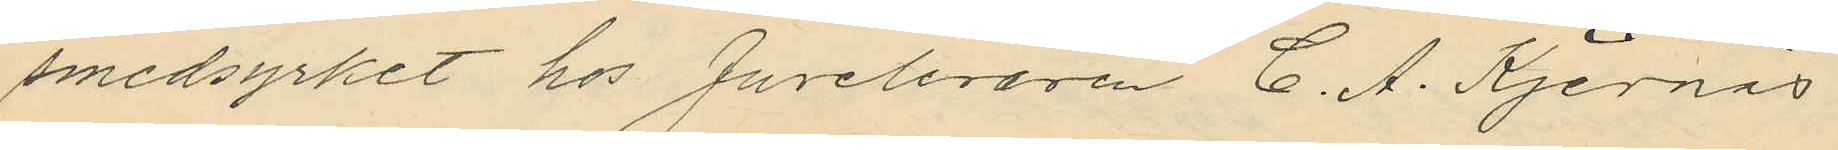smedsyrket hos Juveleraren C. A. Kjernås
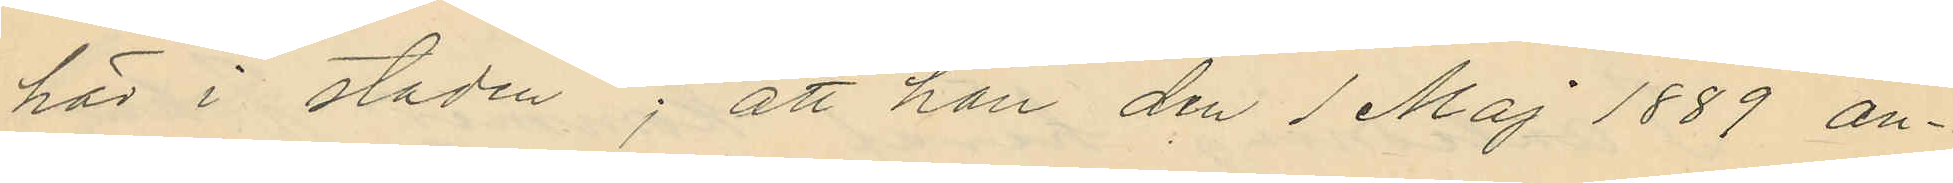här i staden; att han den 1 Maj 1889 an¬
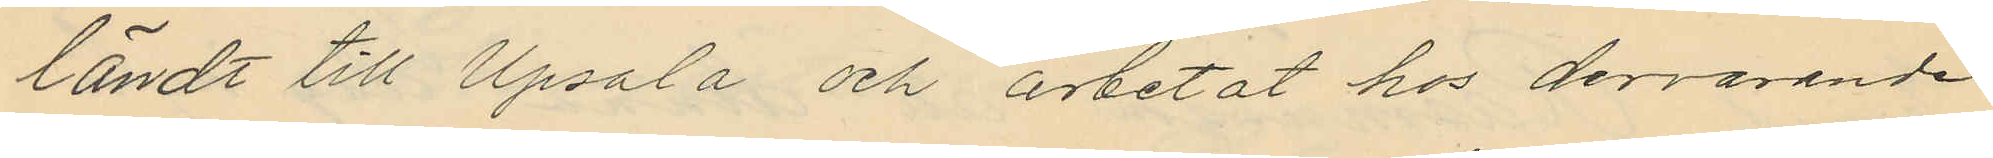ländt till Upsala och arbetat hos dervarande
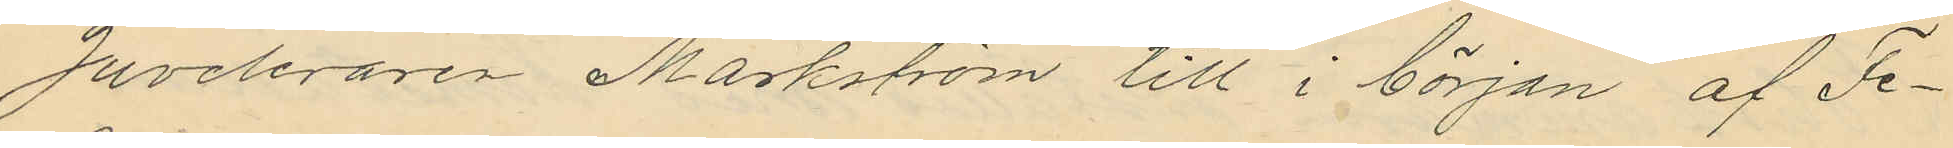Juveleraren Markström till i början af Fe¬
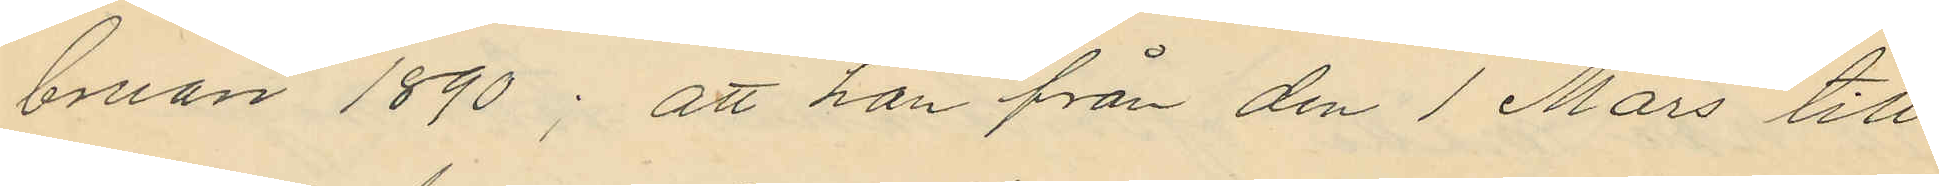bruari 1890; att han från den 1 Mars till
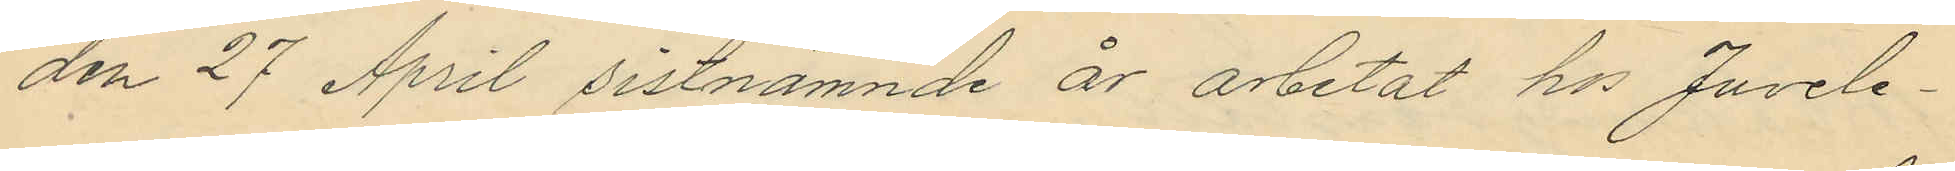den 27 April sistnämnde år arbetat hos Juvele¬
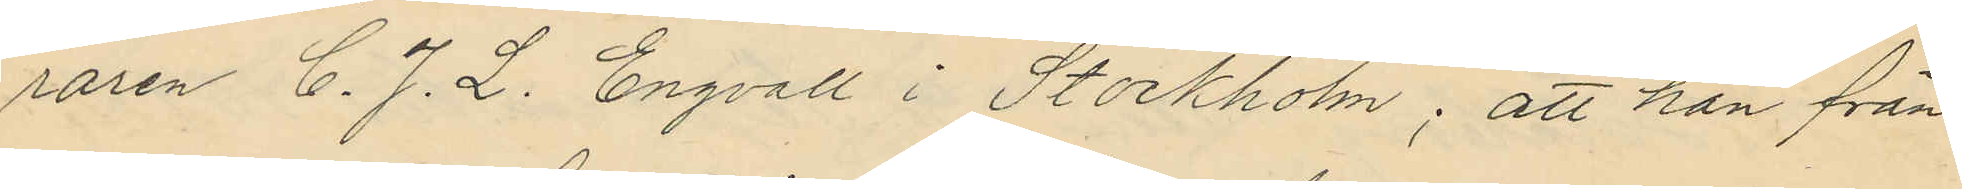raren C. J. L. Engvall i Stockholm; att han från
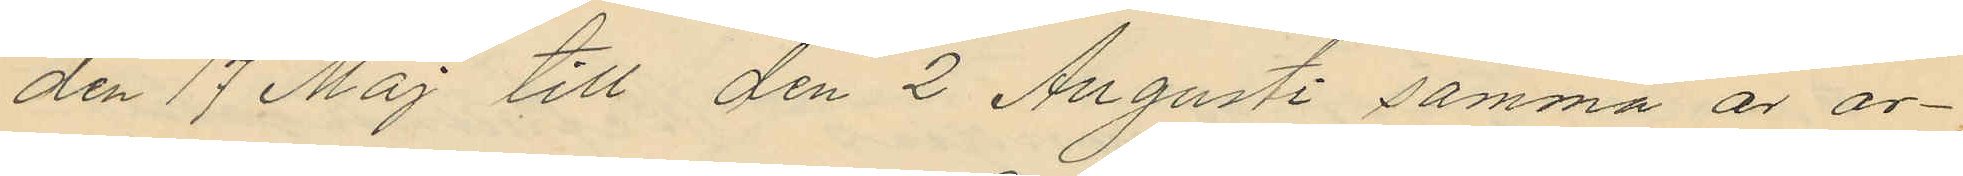den 17 Maj till den 2 Augusti samma år ar¬
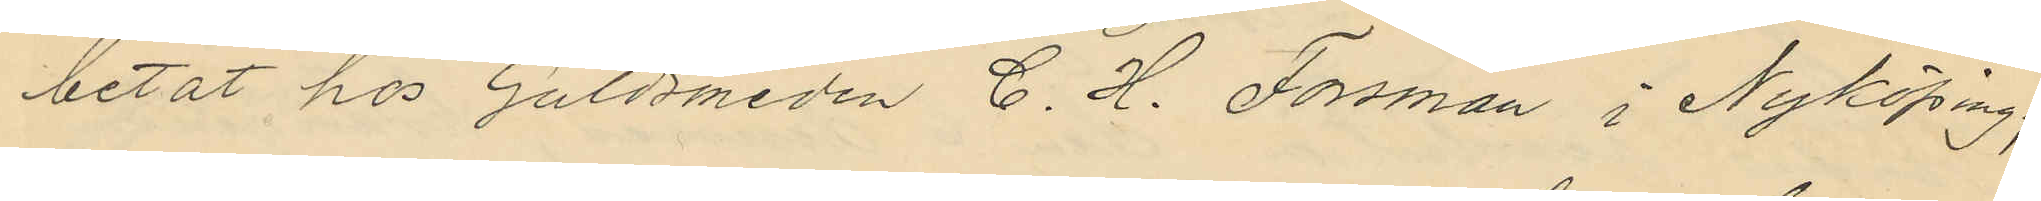betat hos Guldsmeden C. H. Forsman i Nyköping;
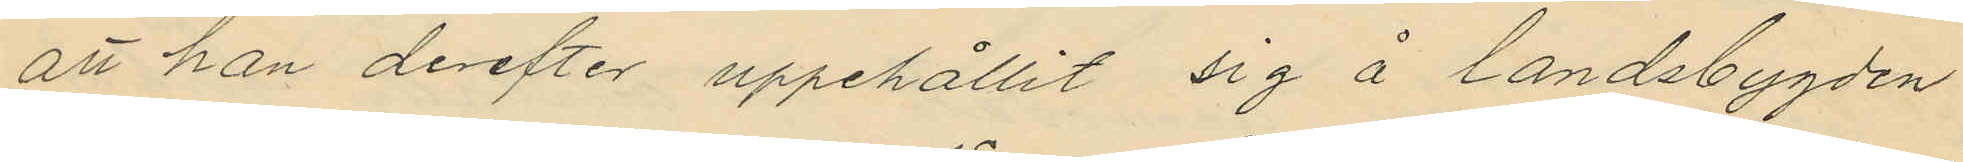att han derefter uppehållit sig å landsbygden
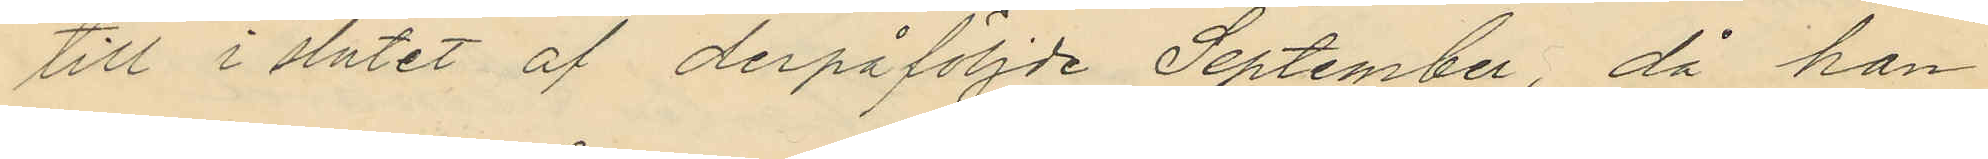till i slutet af derpåföljde September, då han
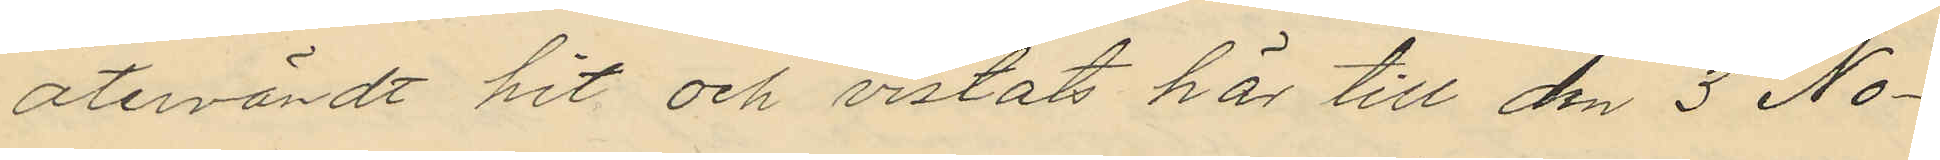återvändt hit och vistats här till den 3 No¬
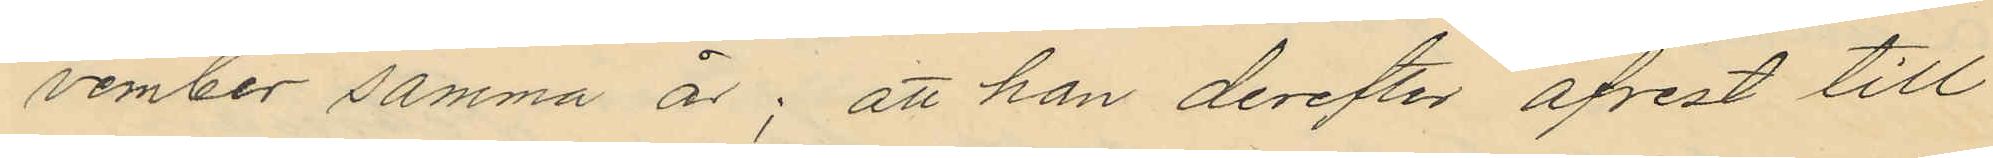vember samma år; att han derefter afrest till
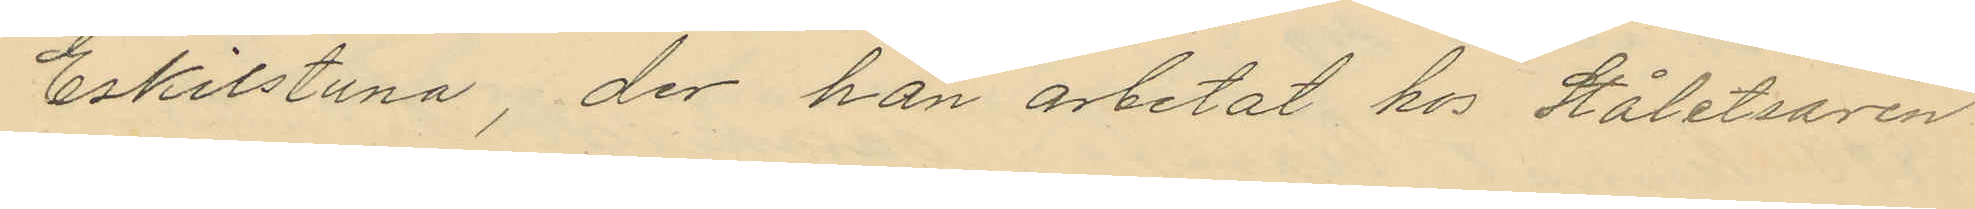Eskilstuna, der han arbetat hos Ståletsaren
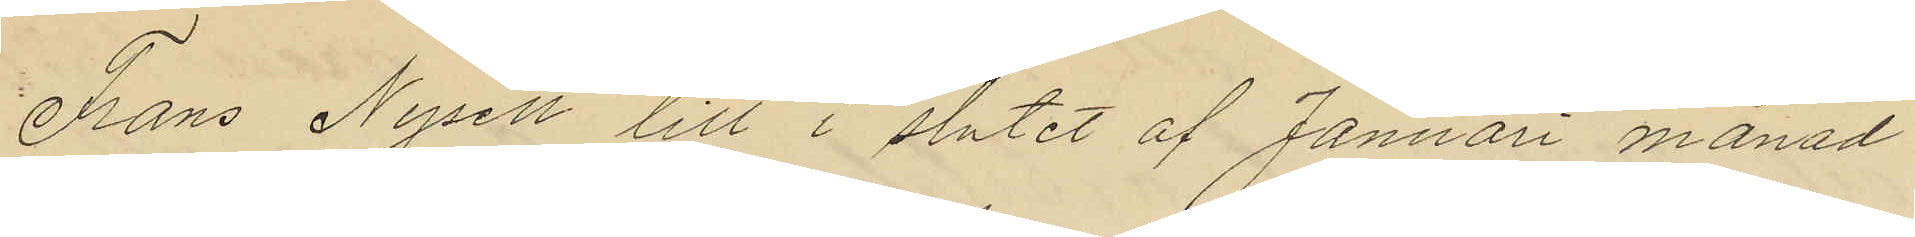Frans Nysell till i slutet af Januari månad
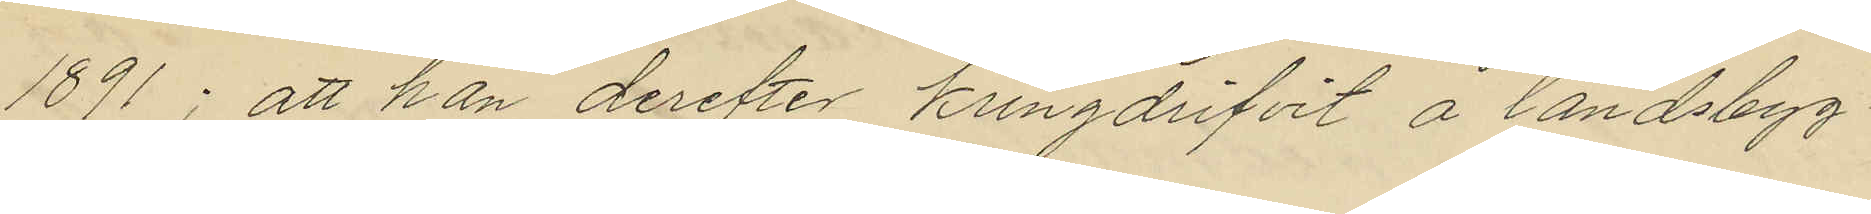1891; att han derefter kringdrifvit å landsbyg¬
